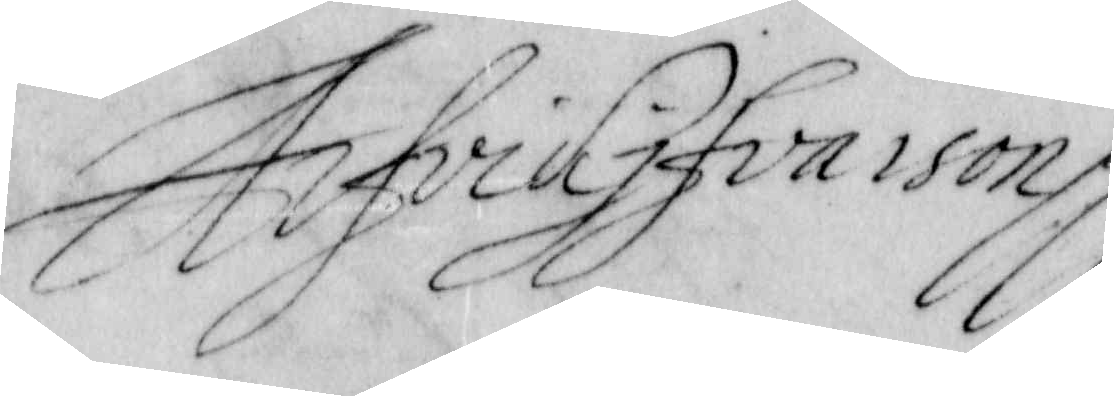Arfvid Ifvarson.
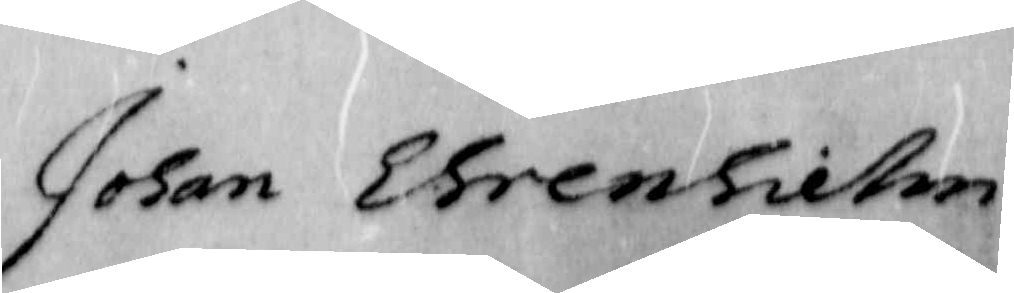Johan Ehrenhielm.
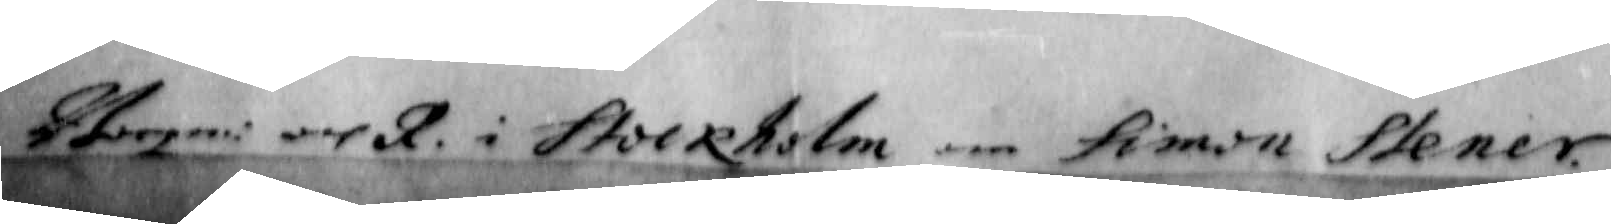till Borgm: och R. i Stockholm om Simon Stener.
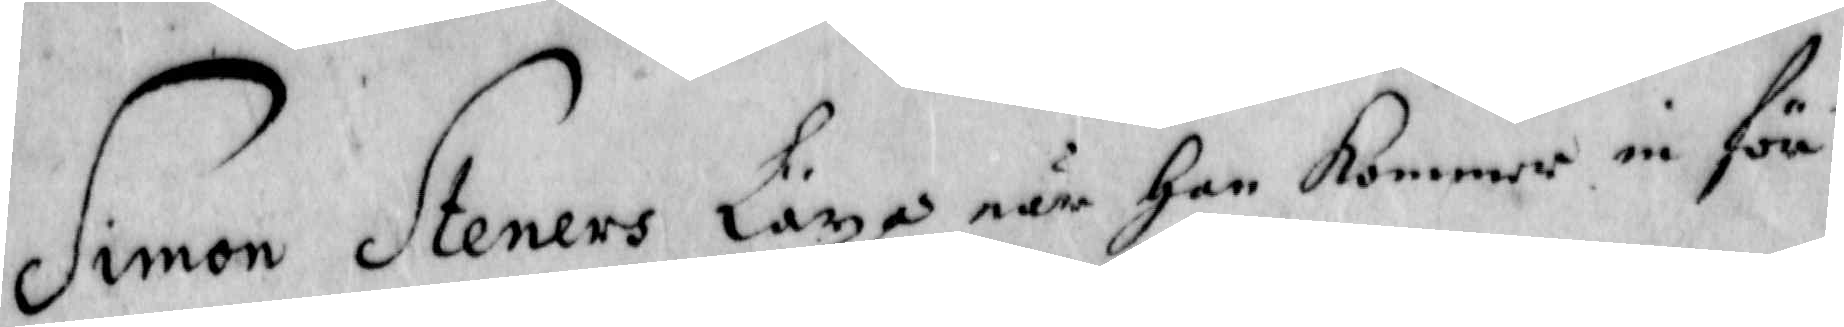Simon Steners Läxa när han Kommer in för
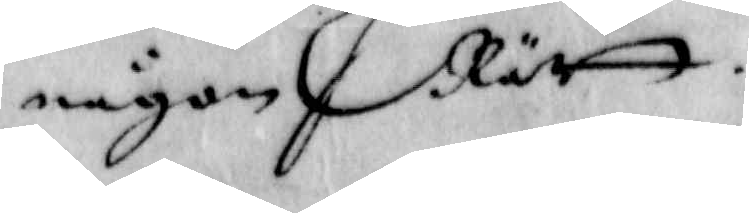någon Rätt.
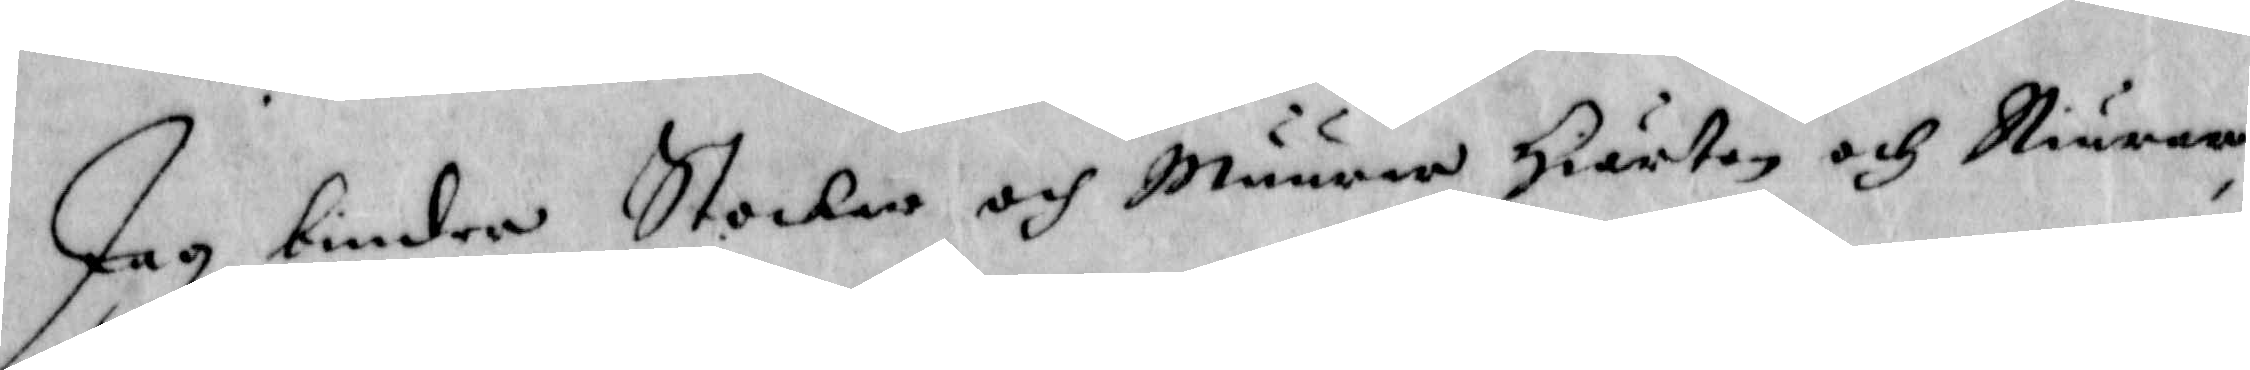Jag binder Stockar och Muurar, Hiärtan och Niurar,
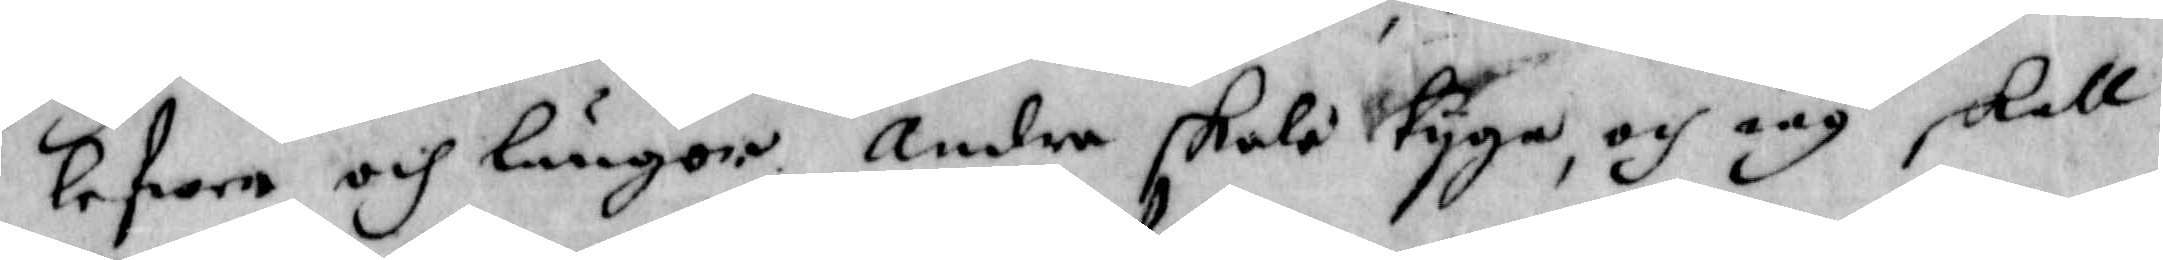Lefwer och Lungor. Andra skola tijga, och iag skall
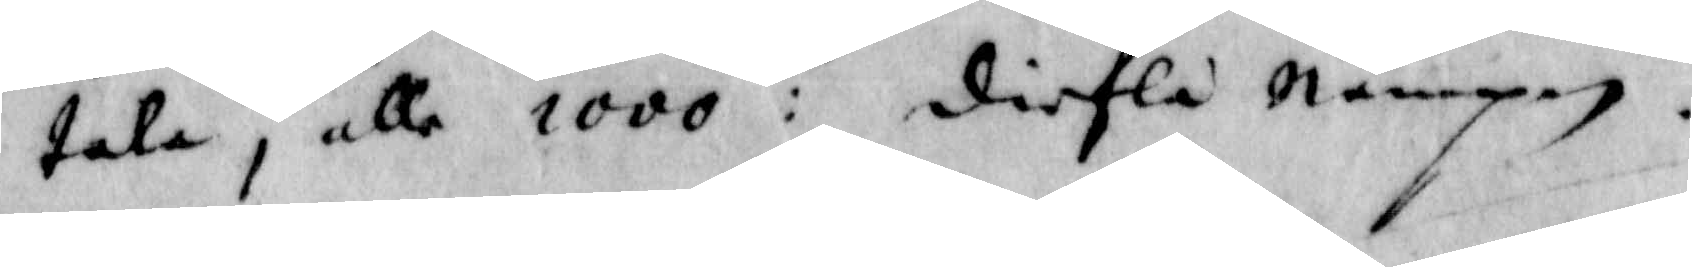tala j alle 1000:de diefla Nampn.
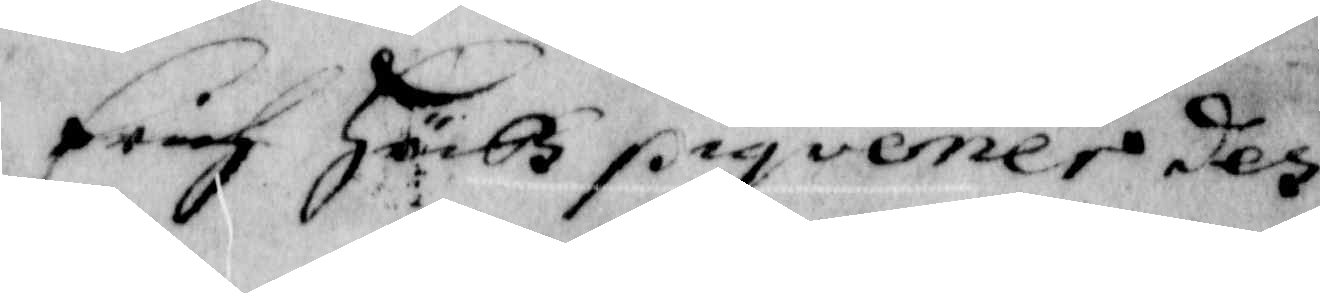Erich Höck piqvener des
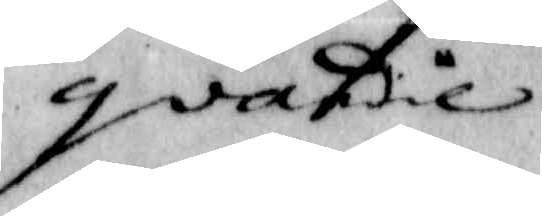gvardie
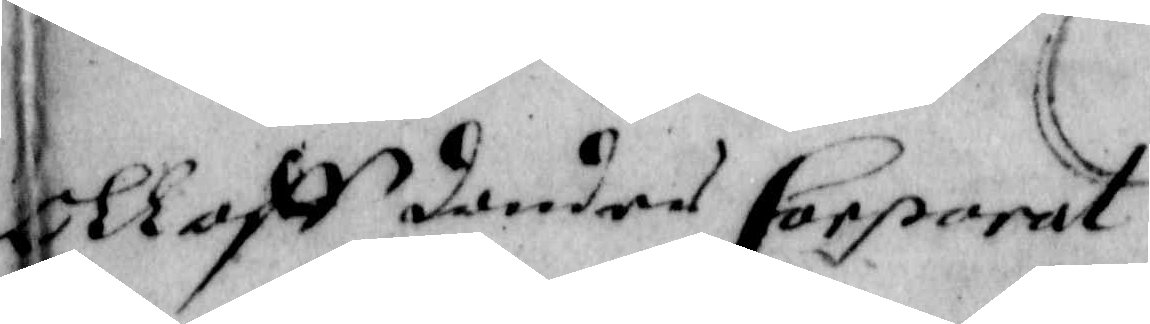Olloff dunder Corporal
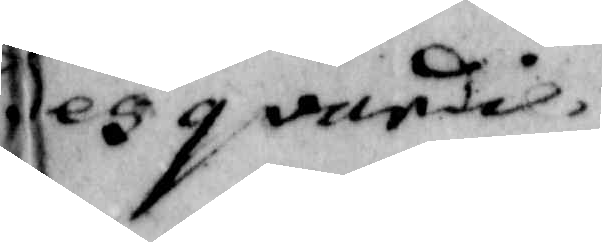des gvardi.
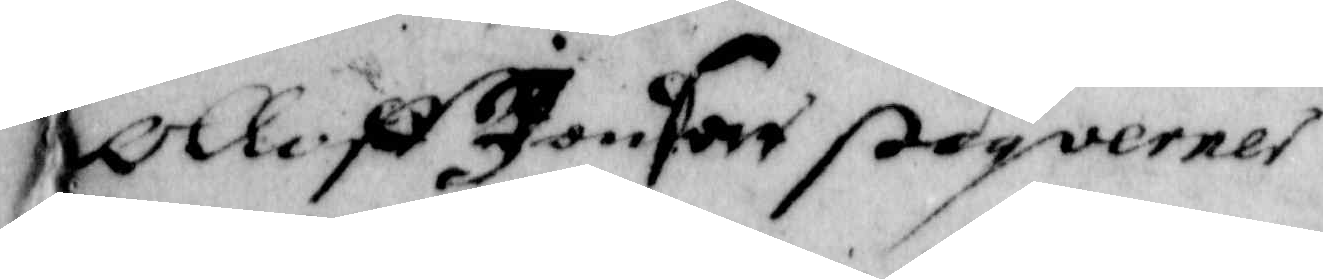Olloff Jonson Piqverner
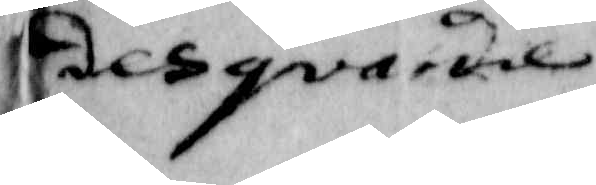des gvardie
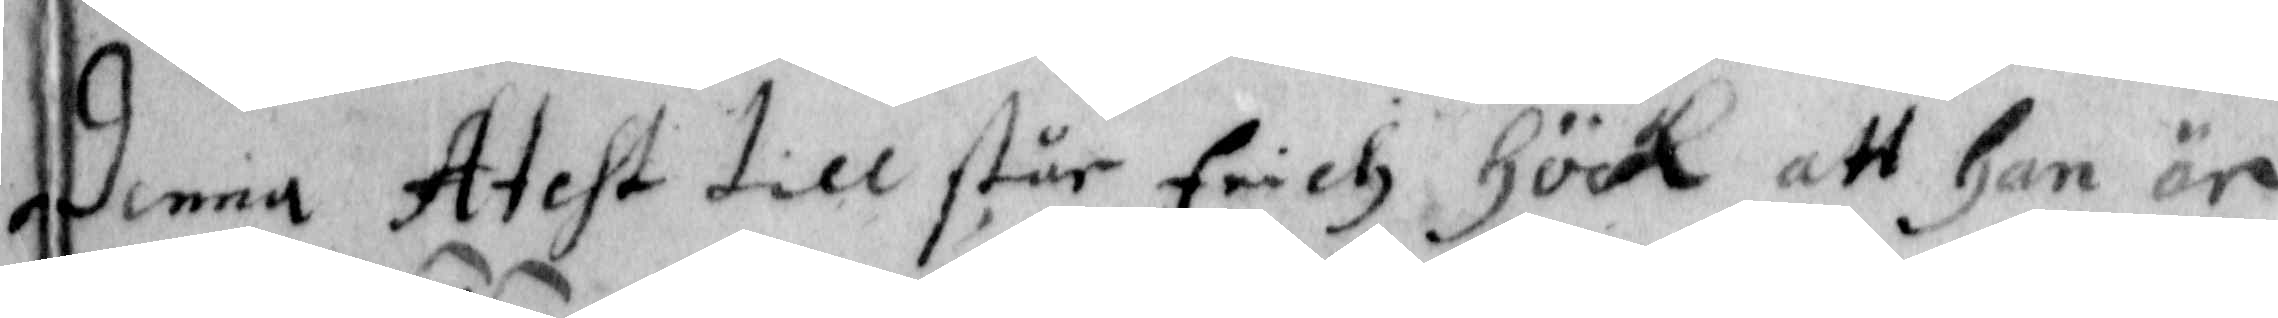Denna Atest till står Erick Höck att han är
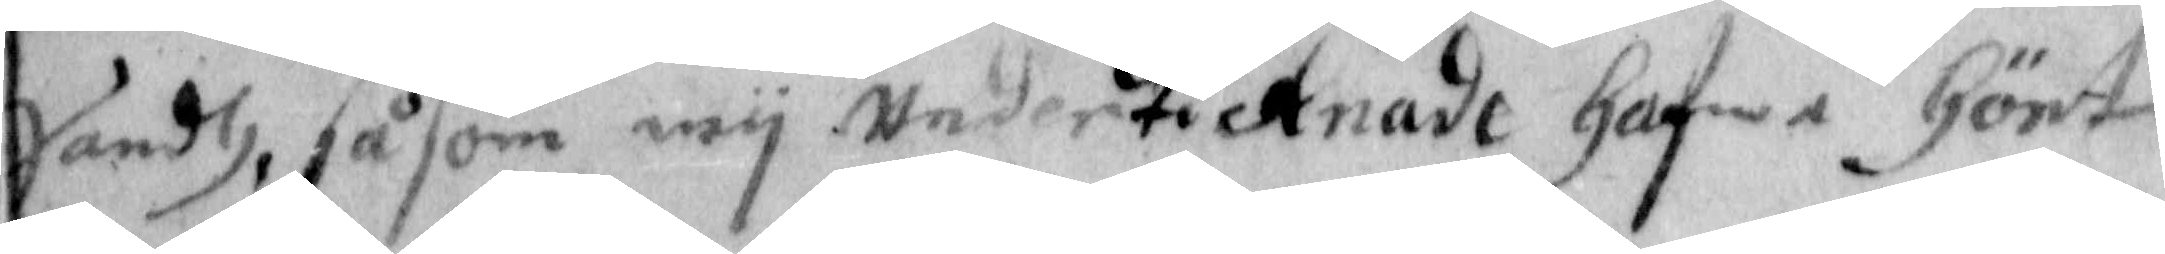sandh, såsom wij Underticknade hafwa hört
